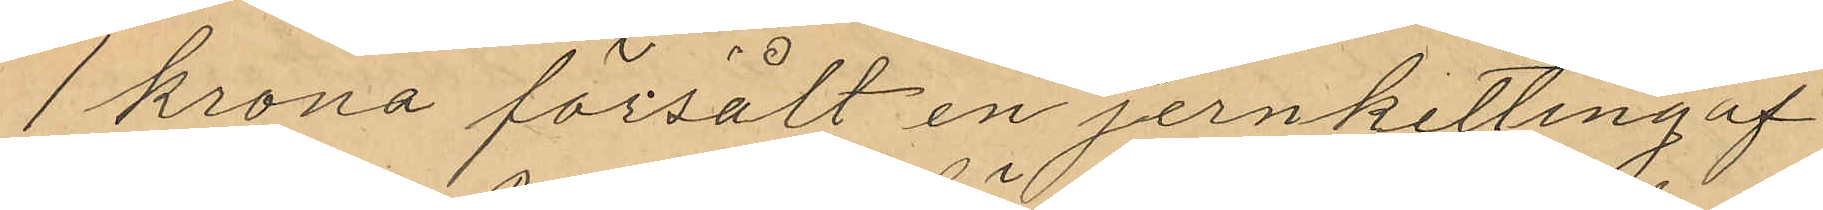1 krona försålt en jernketting af
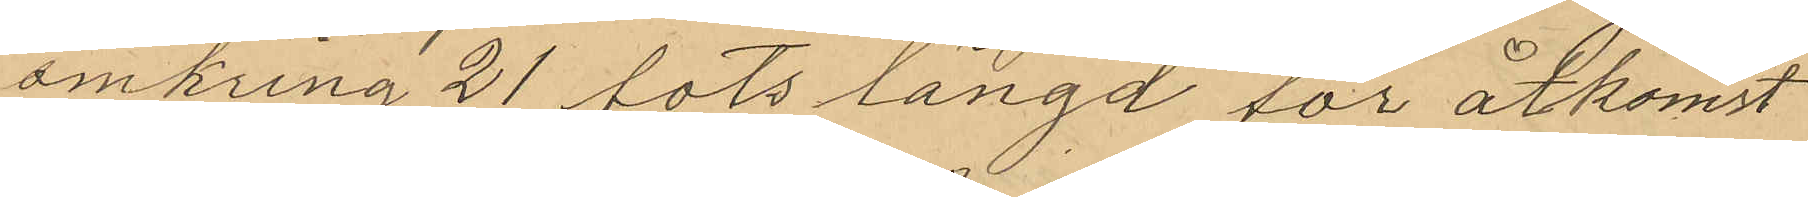omkring 21 fots längd för åtkomst
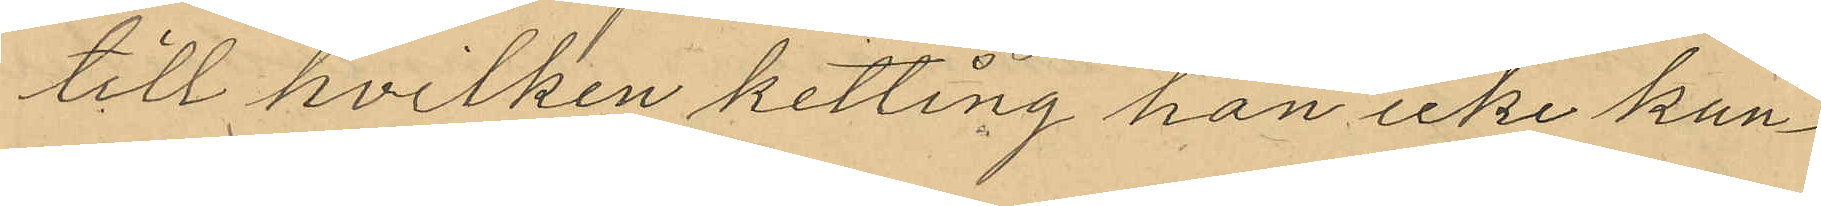till hvilken ketting han icke kun¬
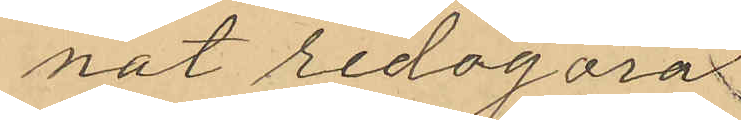nat redogöra
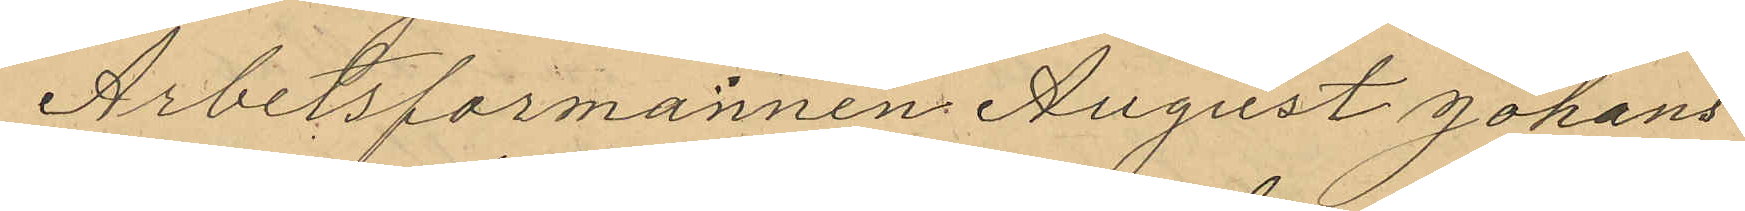Arbetsformannen August Johans¬
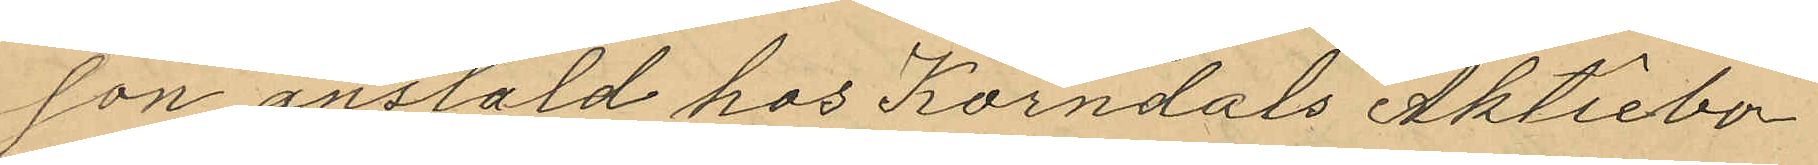son anstäld hos Korndals Aktiebo¬
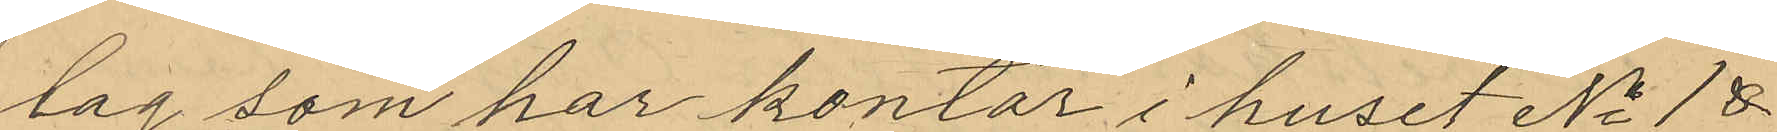lag som har kontor i huset No 1 &
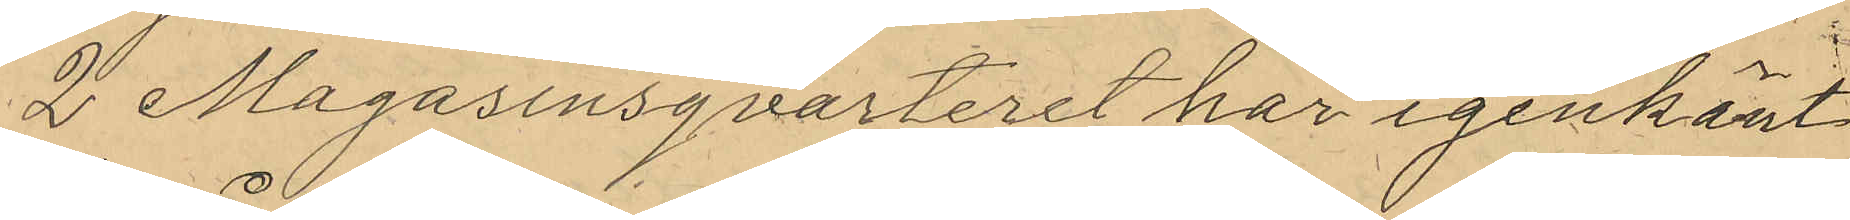2 Magasinsqvarteret har igenkänt
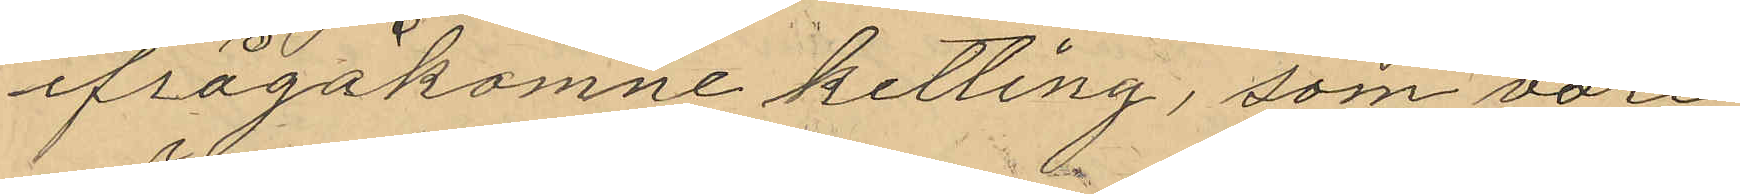ifrågakomne ketting, som vore
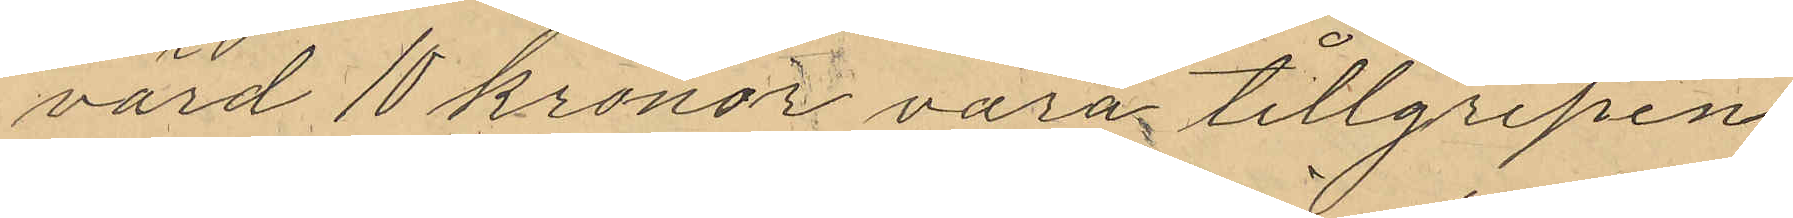värd 10 kronor vara tillgripen
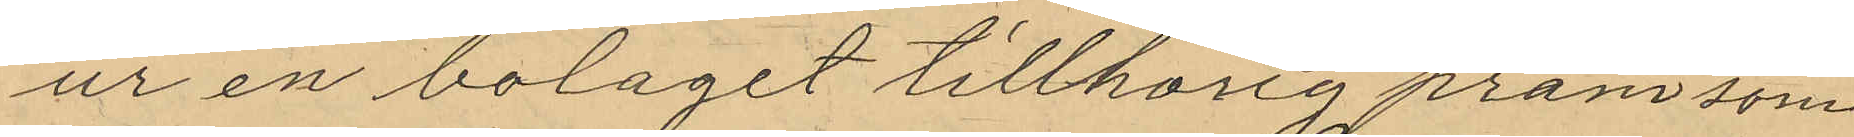ur en bolaget tillhörig pråm som
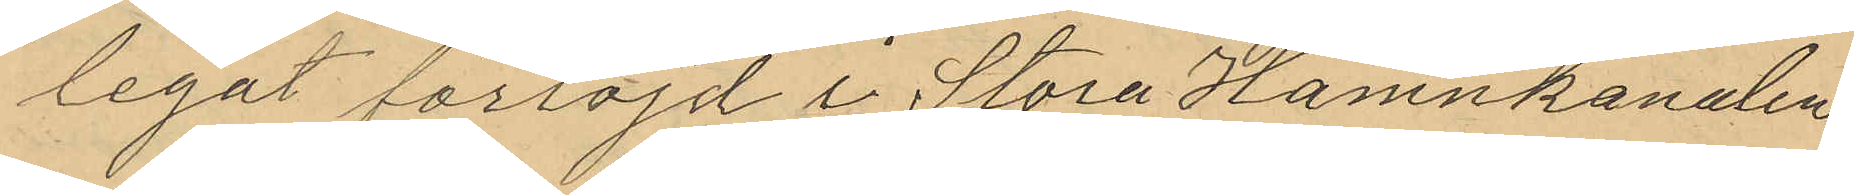legat förtöjd i Stora Hamnkanalen
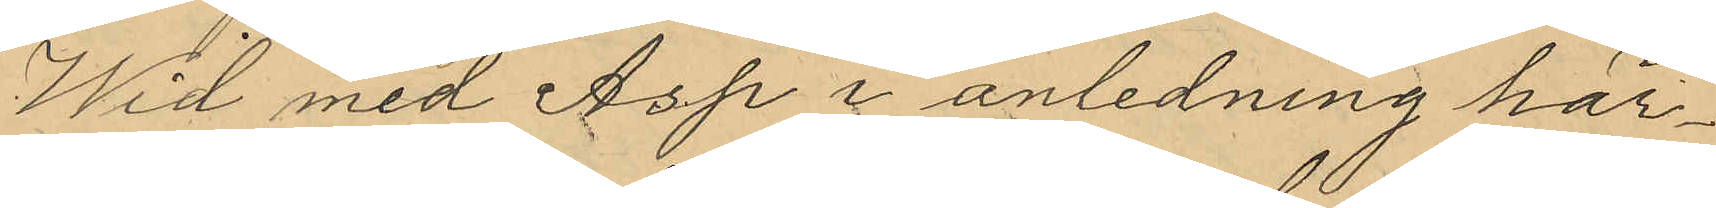Wid med Asp i anledning här¬
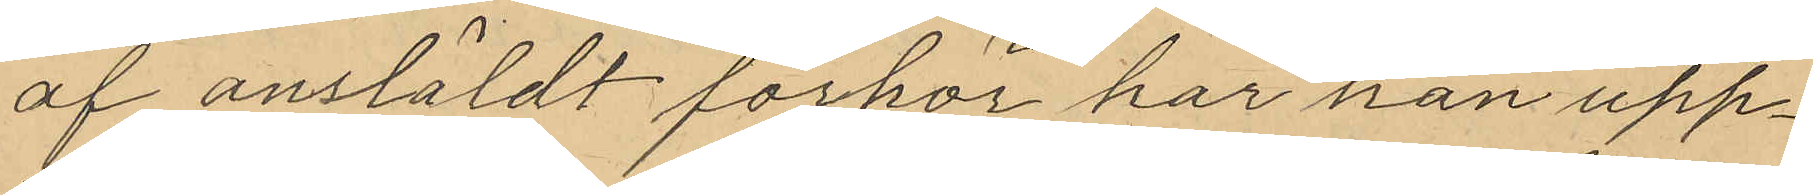af anstäldt förhör har han upp¬
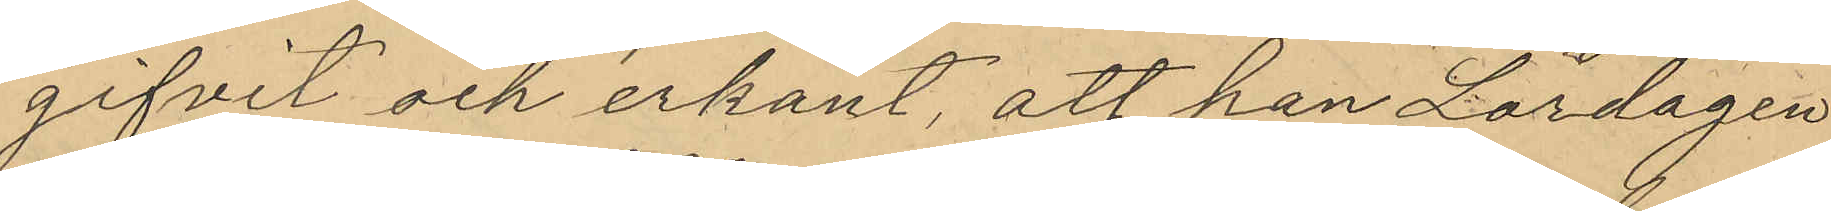gifvit och erkänt, att han Lördagen
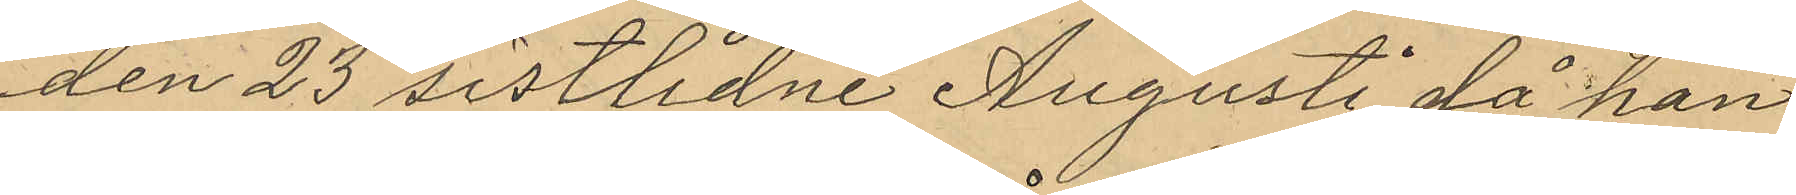den 23 sistlidne Augusti, då han
